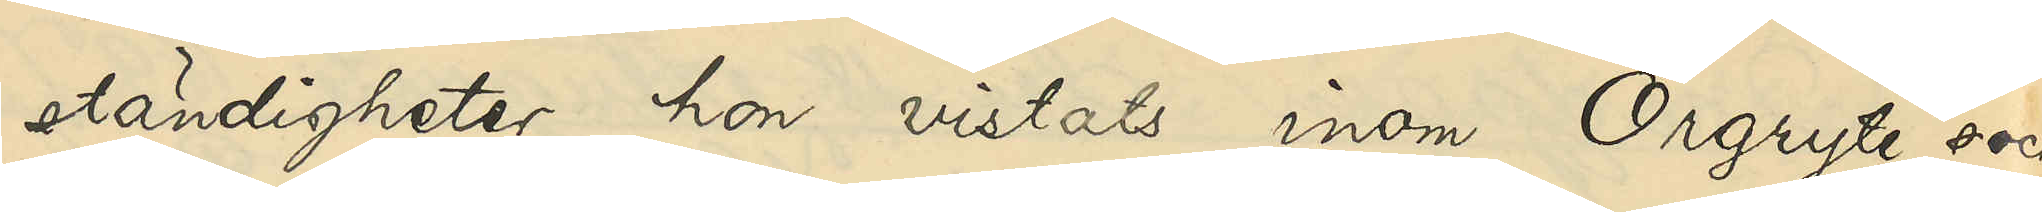ständigheter hon vistats inom Örgryte sock
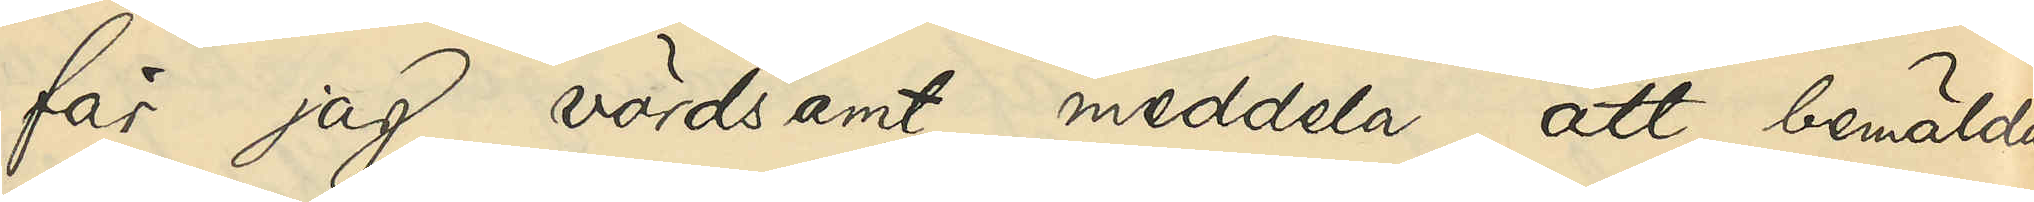får jag vördsamt meddela, att bemälda
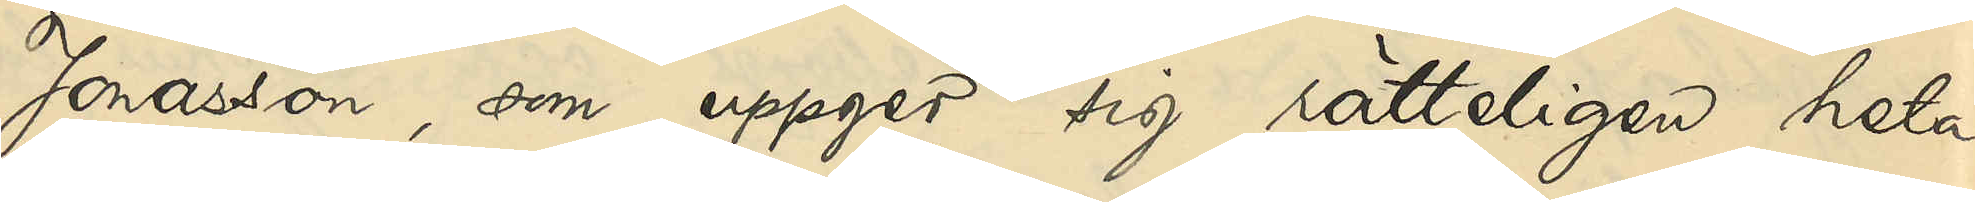Jonasson, som uppger sig rätteligen heta
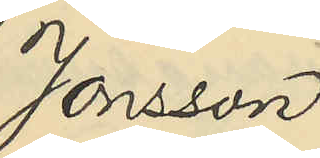Jonsson
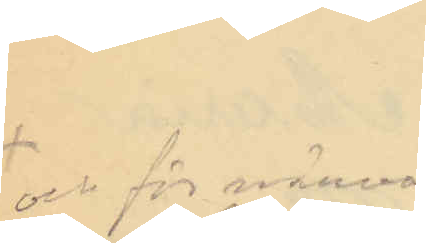och för närva¬
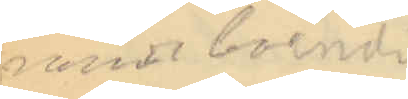rande boende
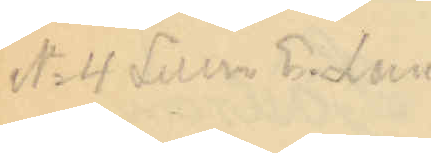No 4 Littra E Lun¬
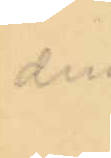den
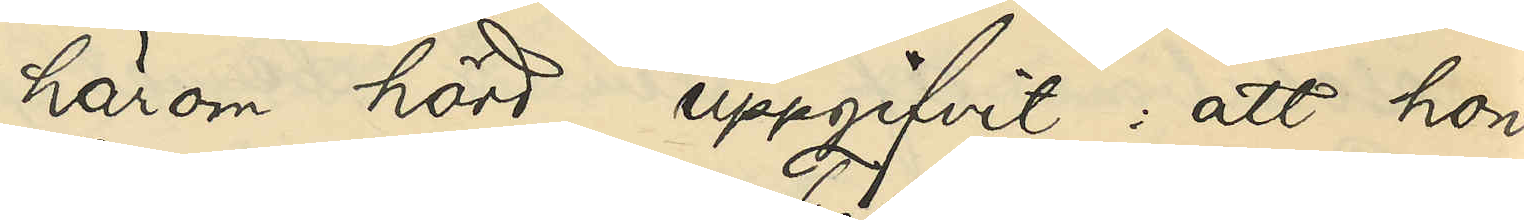härom hörd, uppgifvit: att hon,
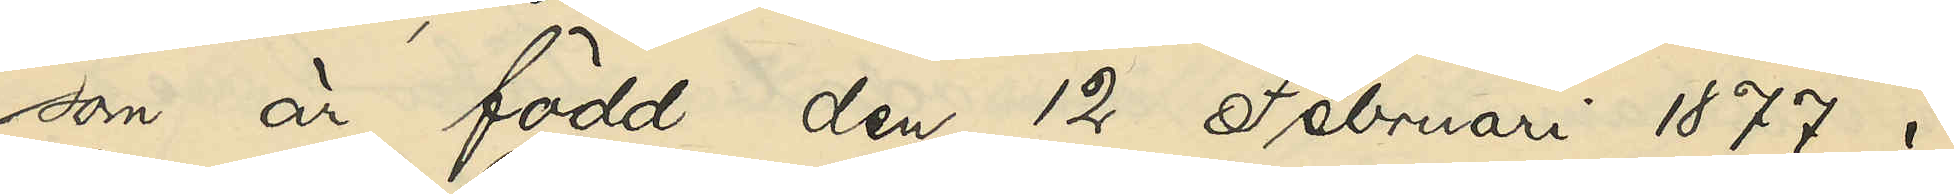som är född den 12 Februari 1877 i
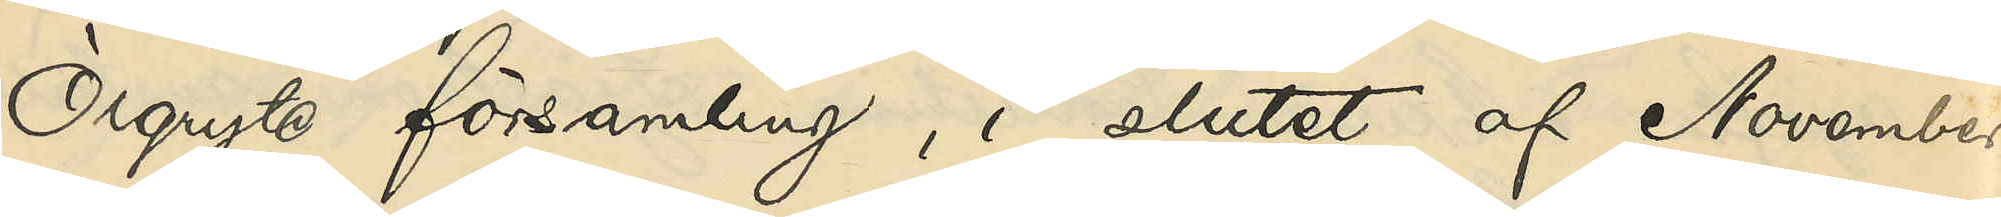Örgryte församling, i slutet af November
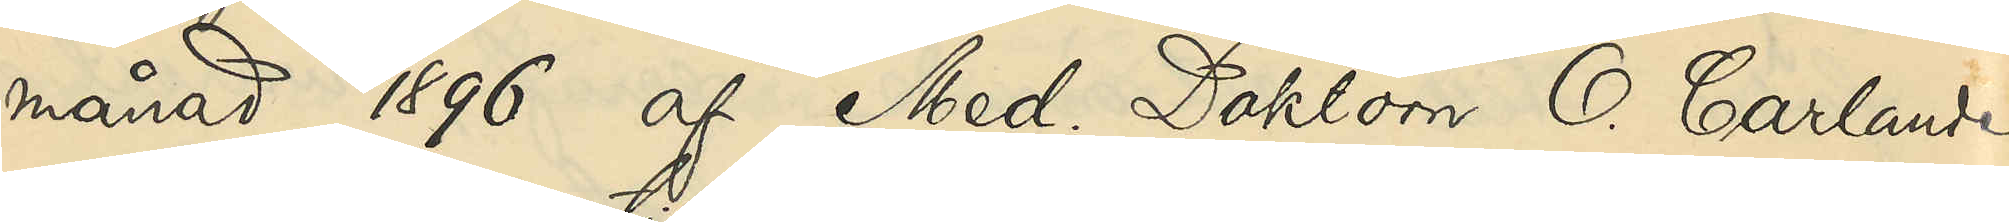månad 1896 af Med. Doktorn O. Carlander
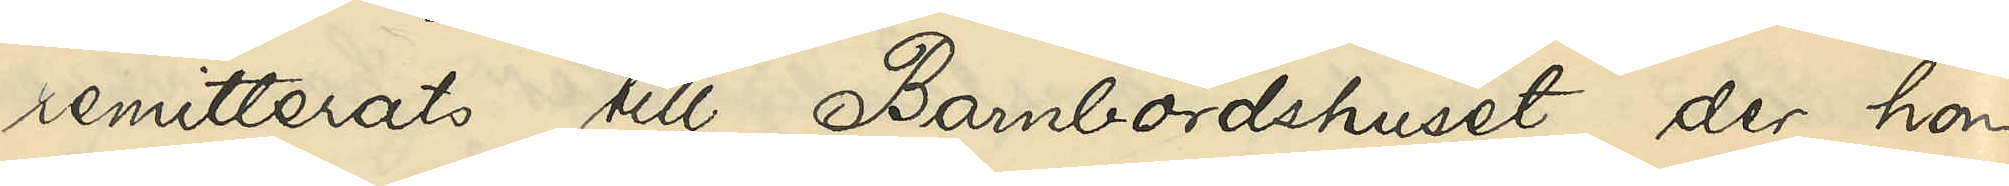remitterats till Barnbördshuset, der hon
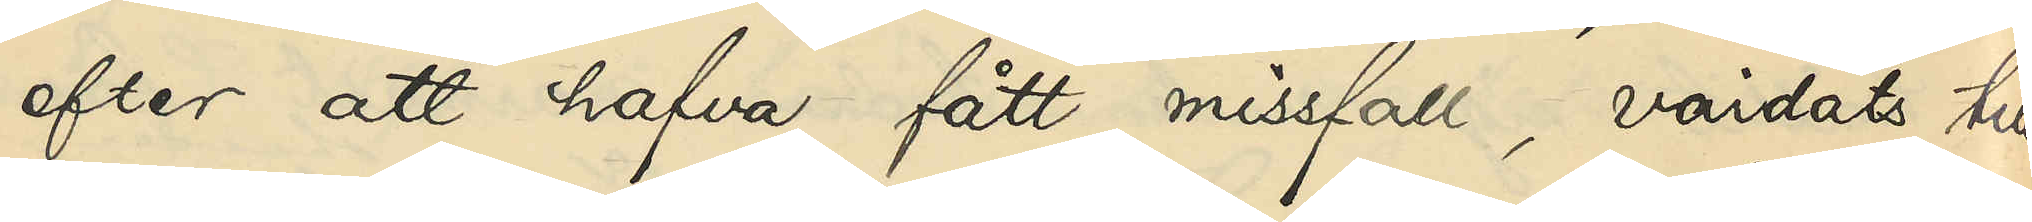efter att hafva fått missfall, vårdats till
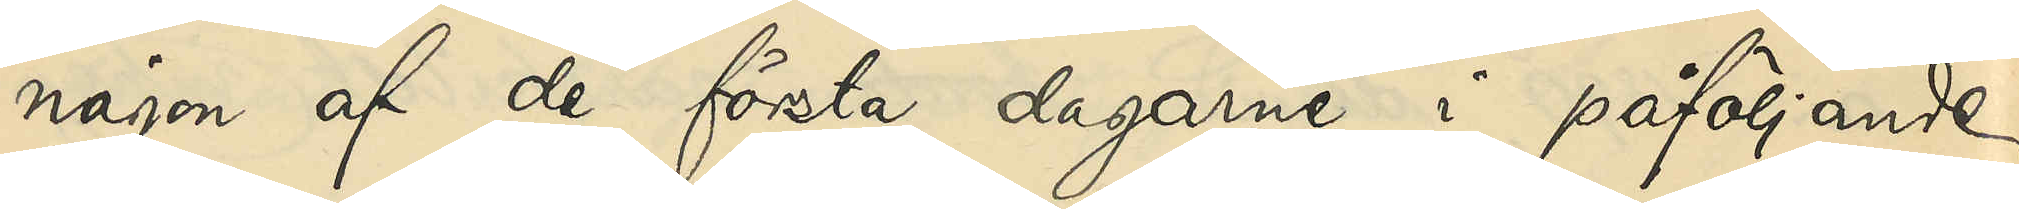någon af de första dagarne i påföljande
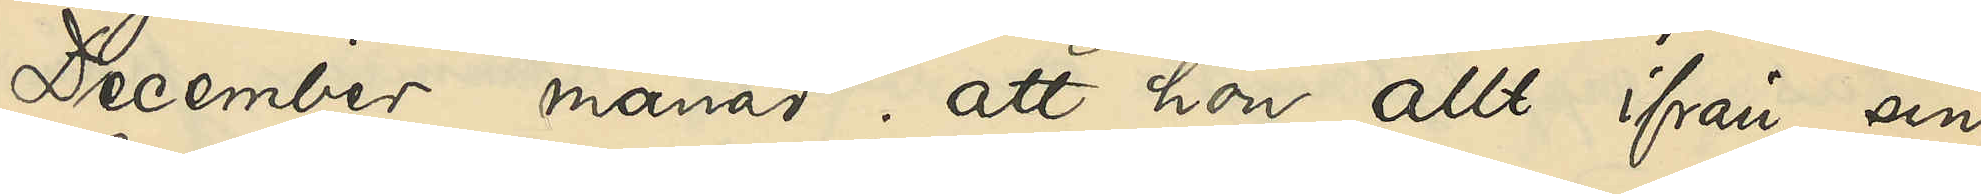December månad; att hon allt ifrån sin
